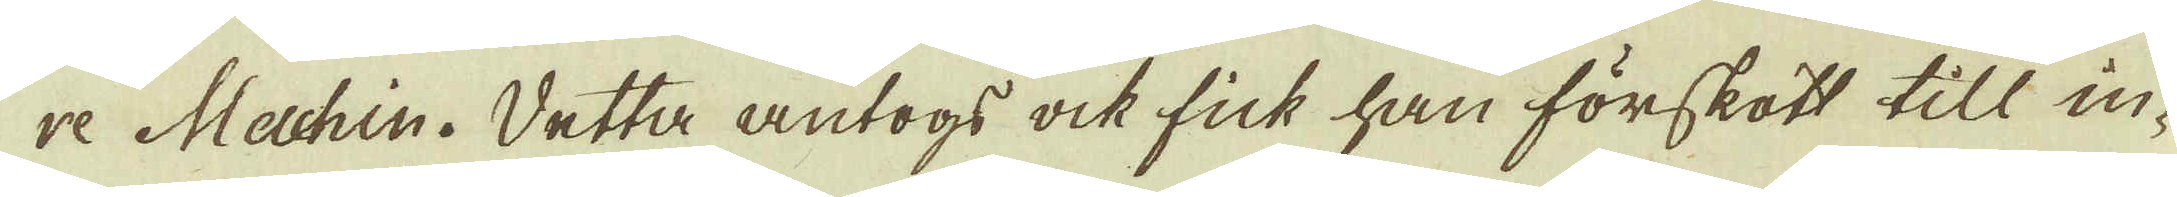re Machin. Detta antogs ock fick han förskott till in-
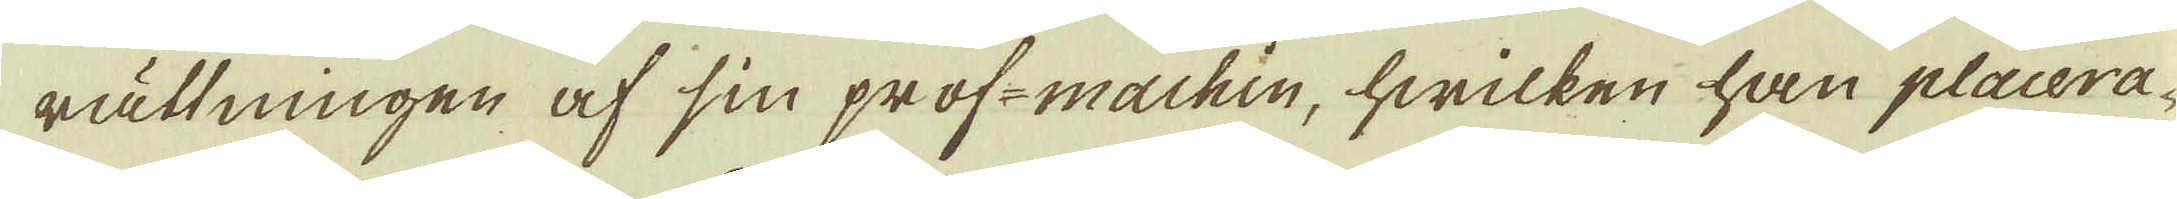rättningen af sin prof-machin, hwilken han placera-
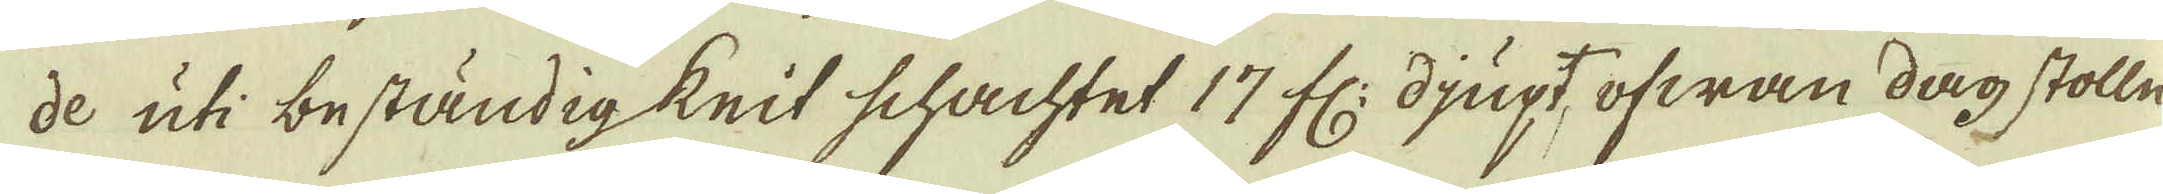de uti beständig krit schachtet 17 fr: djupt, ofwan dag stolln
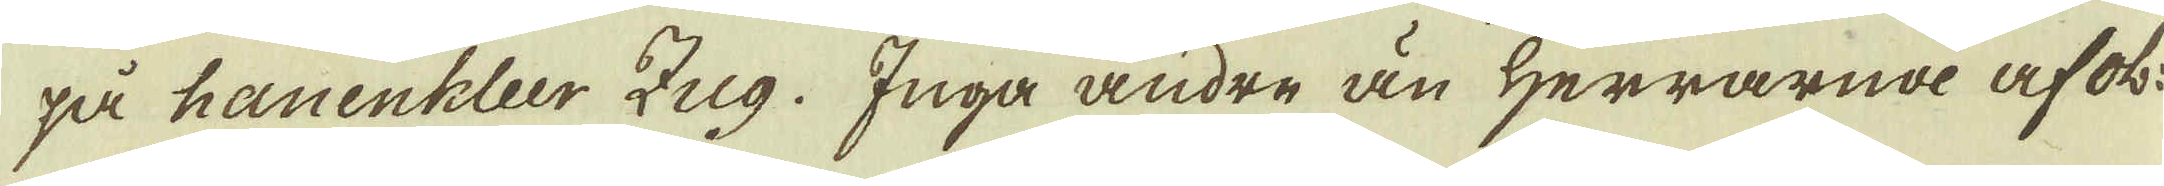på hanenhleer Zug. Inga andre än Herrarna af ob:
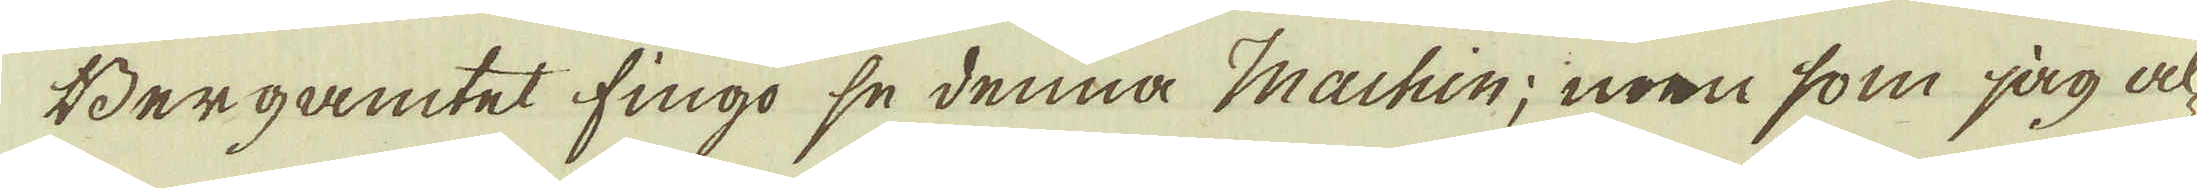Bergamtet fingo se denna Machin; men som jag al-
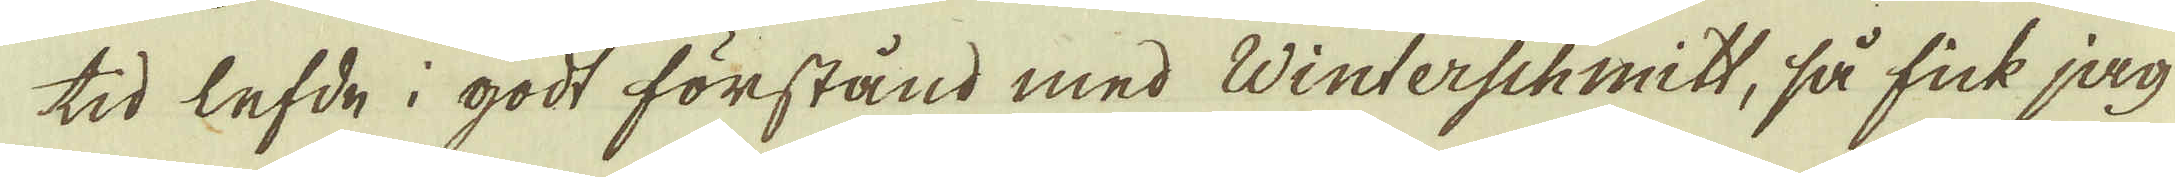tid lefde i godt förstånd med Winterschmitt, så fick jag
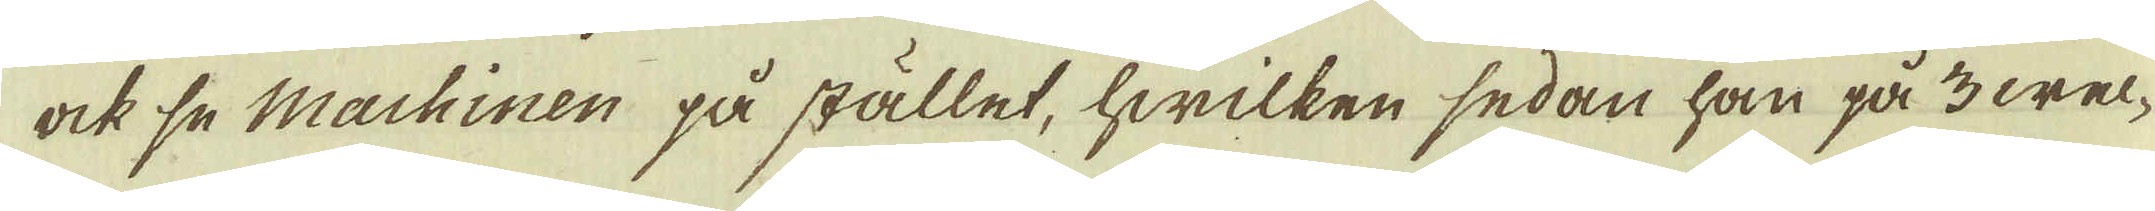ock se Machinen på stället, hwilken sedan han på 3 wel-
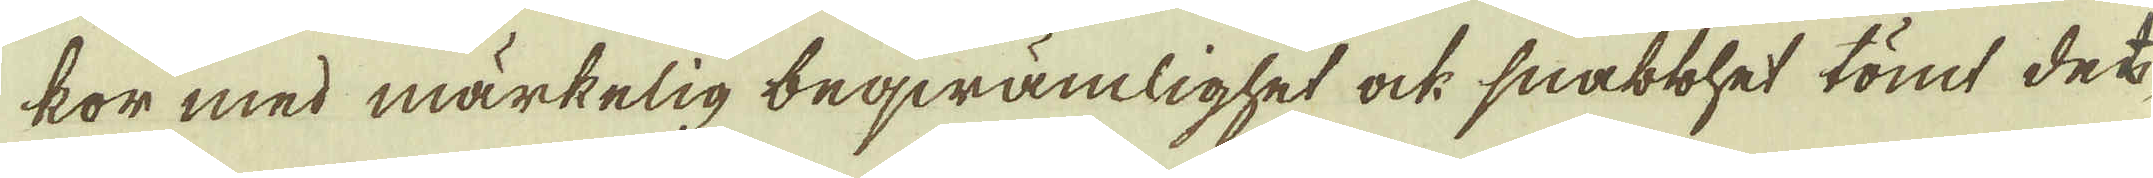kor med märkelig beqwämlighet ock snabbhet tömt det
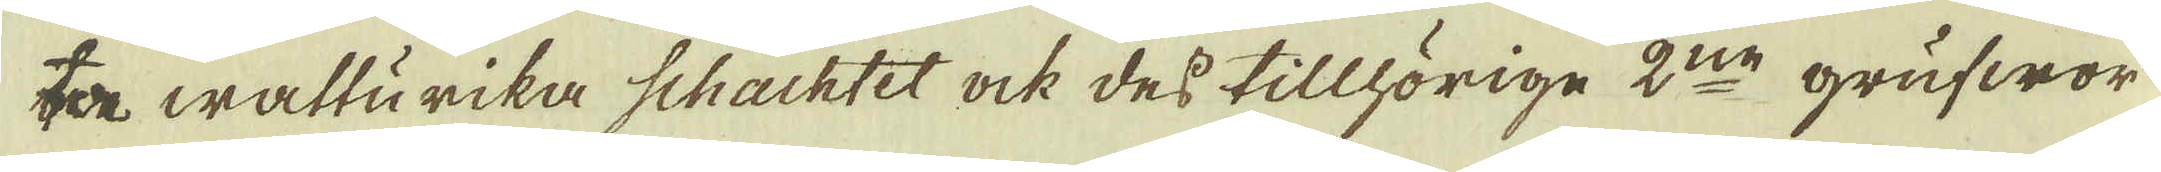ta watturika schachtet ock dess tillhörige 2:ne grufwor
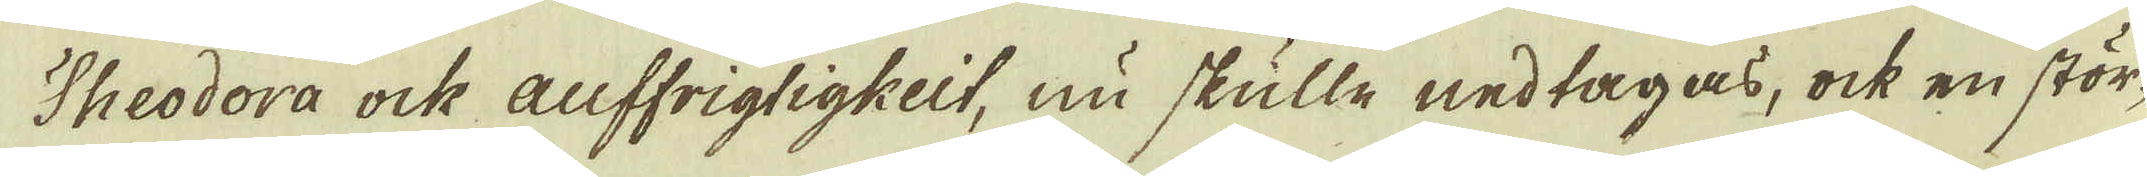Theodora ock auffrigtigkeit, nu skulle nedtagas, ock en stör-
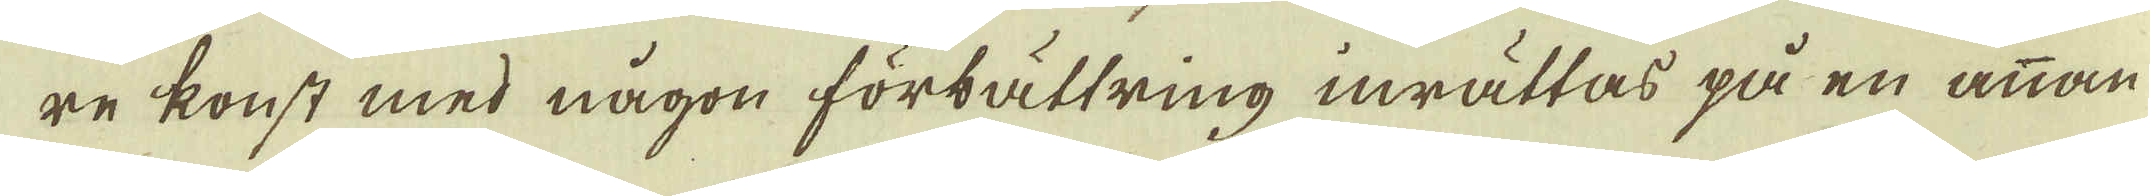re konst med någon förbättring inrättas på en annan
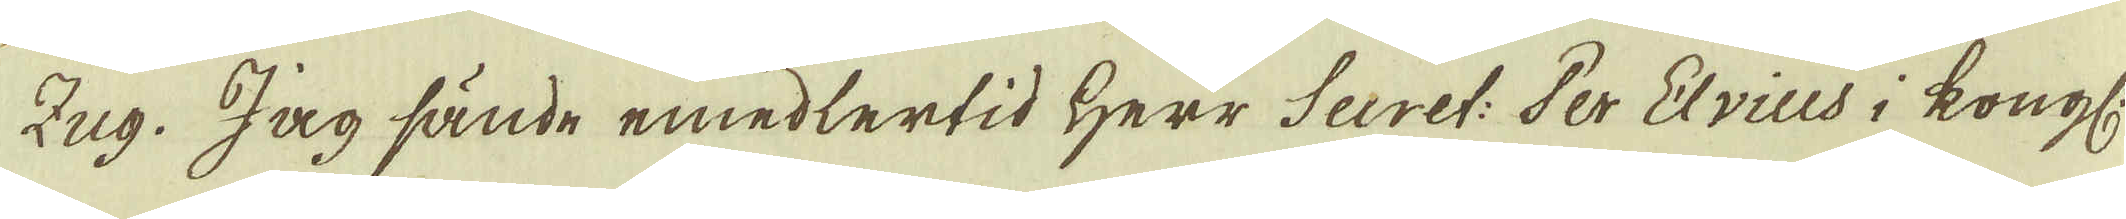Zug. Jag sände emedlertid Herr Secret: Per Elvius i kongl:
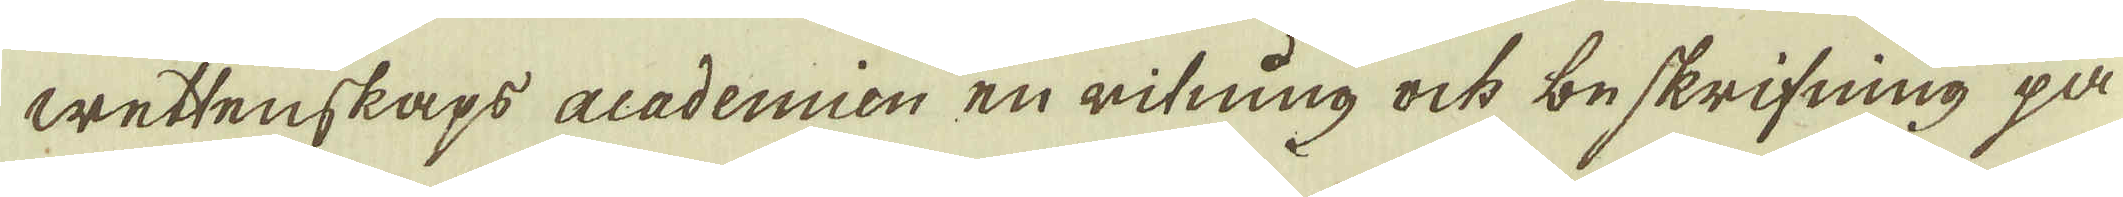wettenskaps acadenien en ritning ock beskrifning på
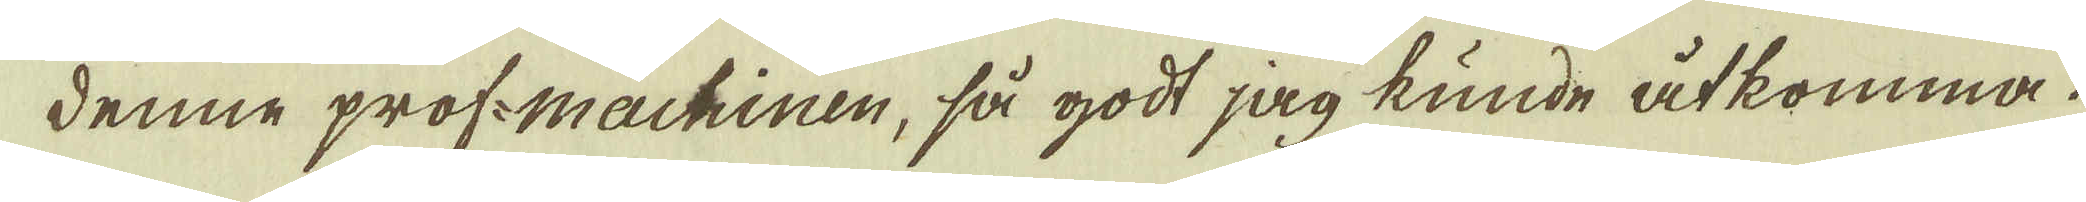denne prof-machinen, så godt jag kunde åtkomma.
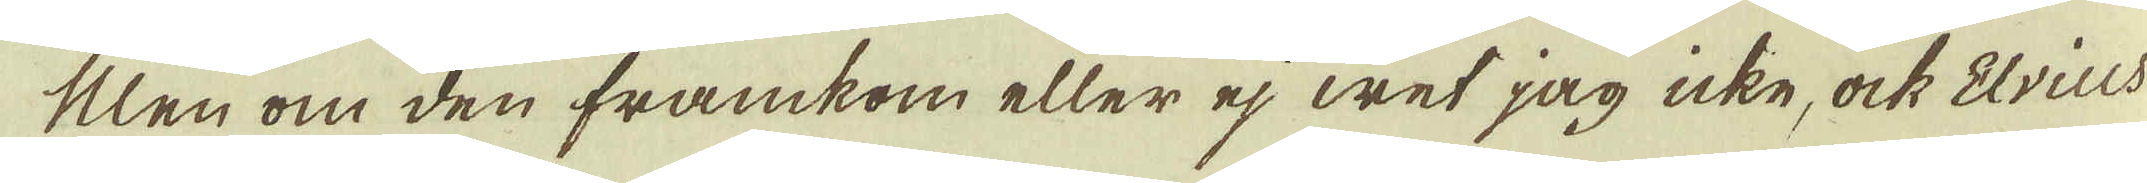Men om den framkom eller ej wet jag icke, ock Elvius-
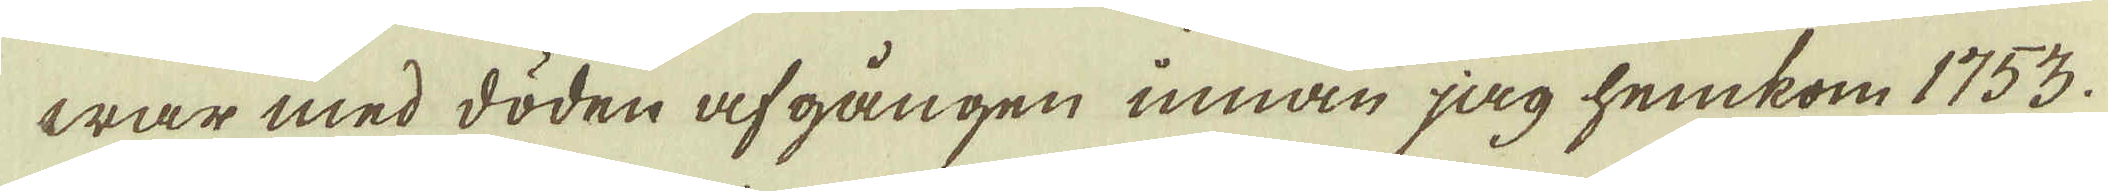war med döden af gången innan jag hemkom 1753.
